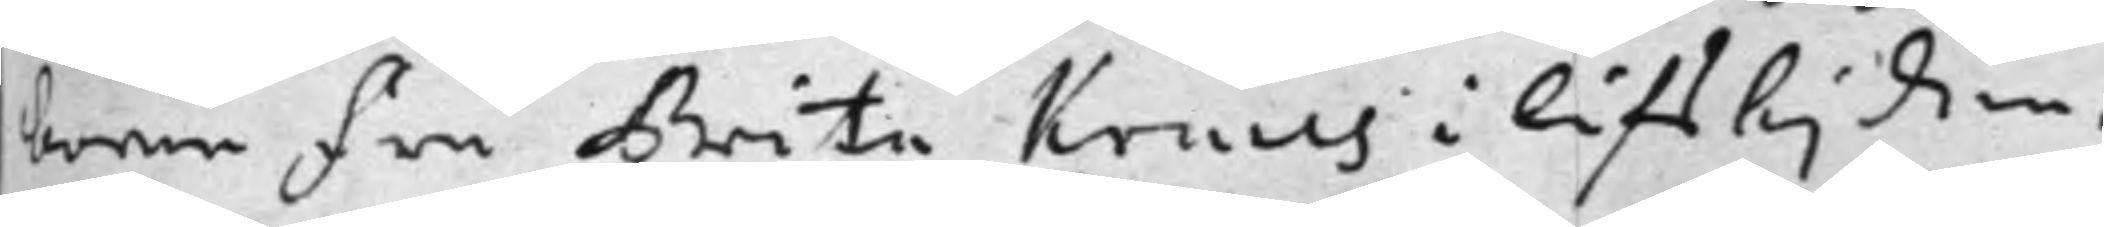borne Fru Brita Kruus i lifstiden,
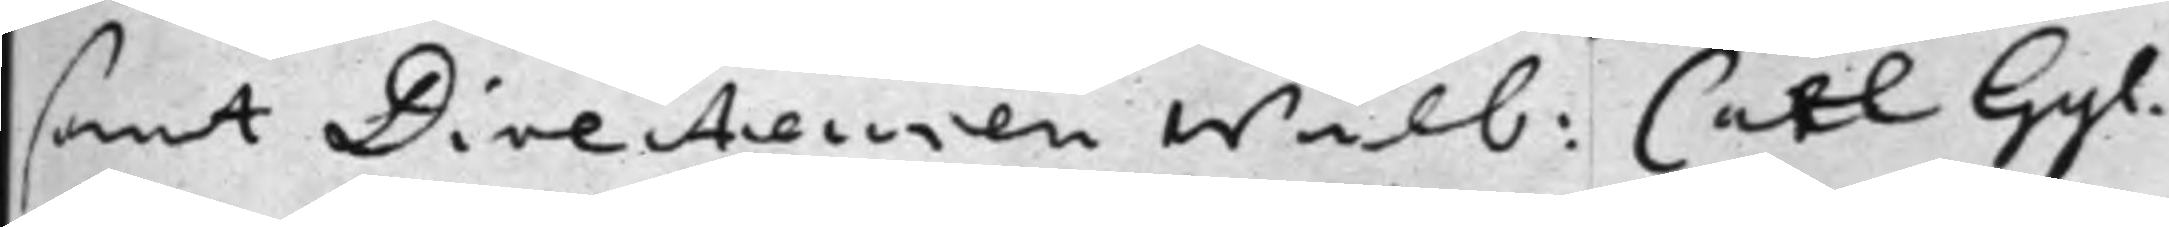samt Directeuren Wälb: Carl Gyl¬
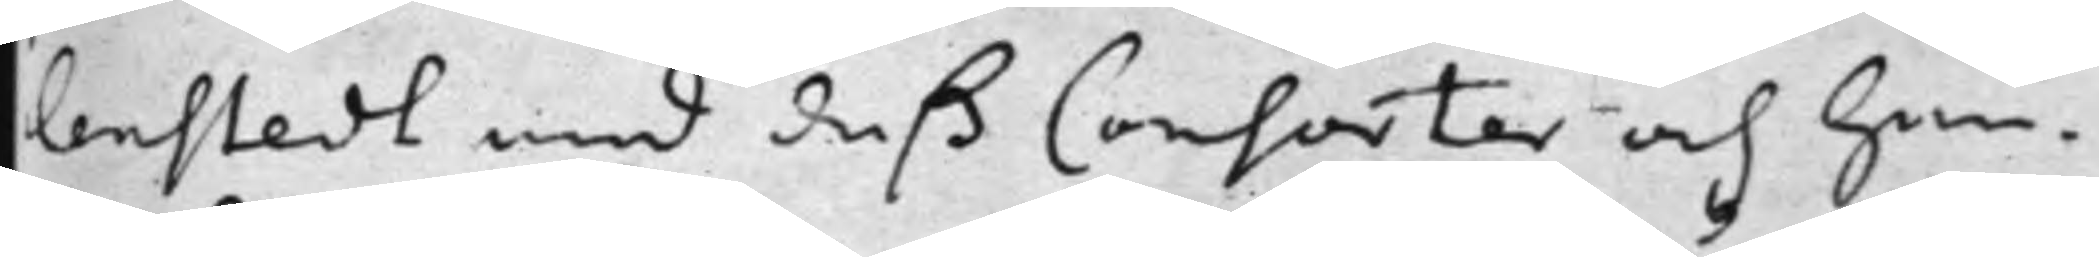lenstedt med deß Consorter och Hen¬
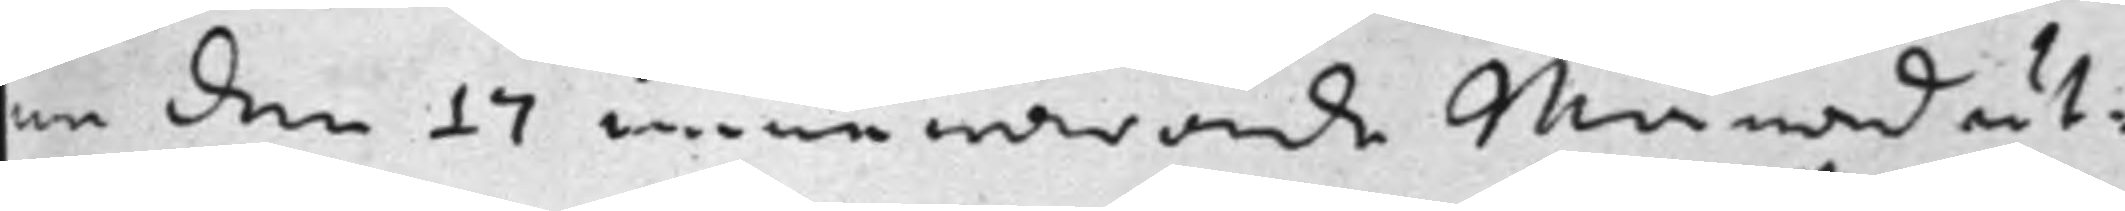ne den 17 innewarande Månad ut¬
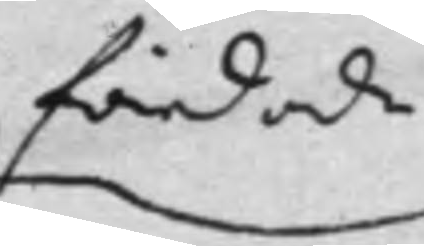färdade
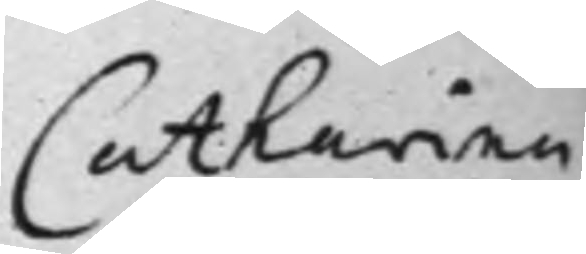Catharina
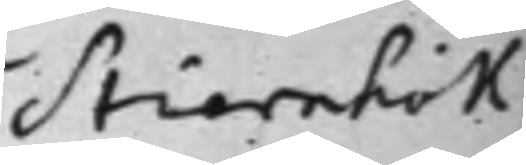Stiernhök
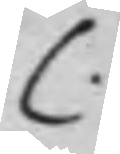C.
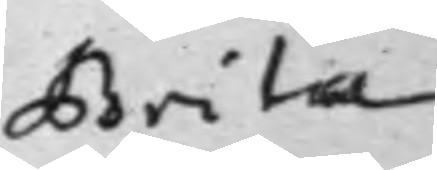Brita
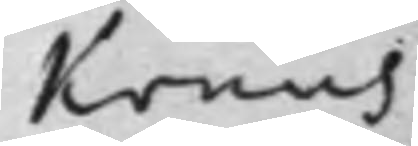Kruus
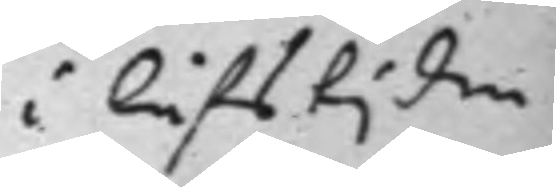i lifstjden
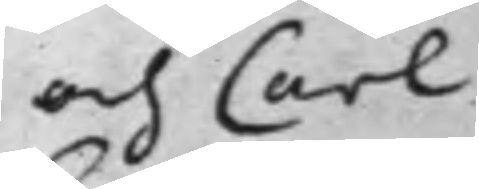och Carl
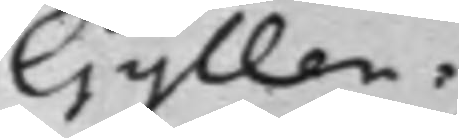Gyllen¬
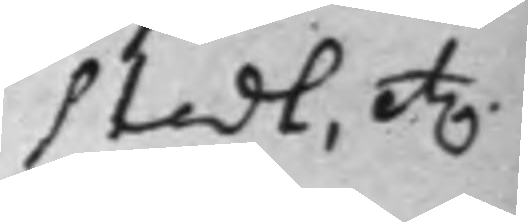stedt, etc.
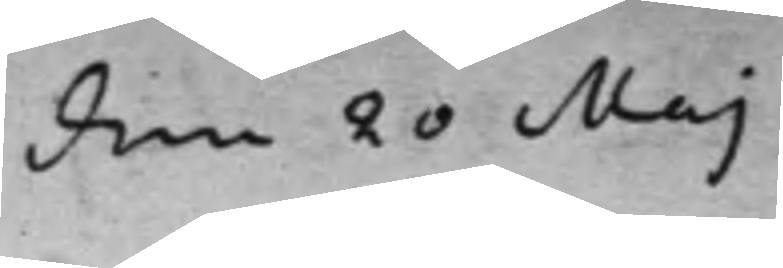den 20 Maj
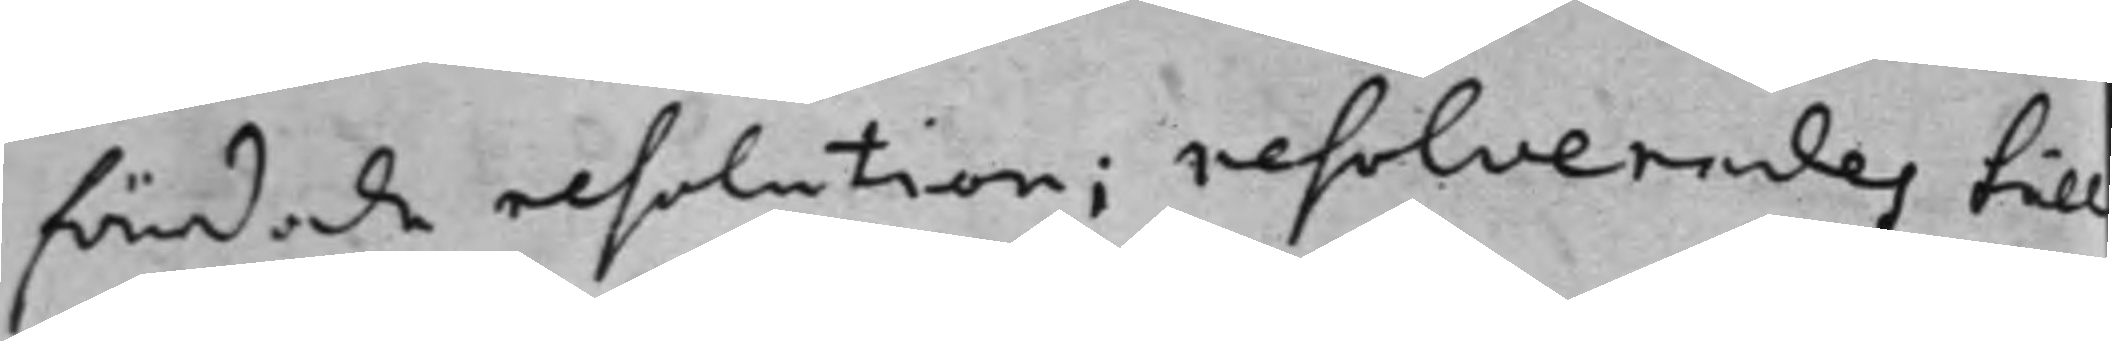färdade resolution; resolverades till
